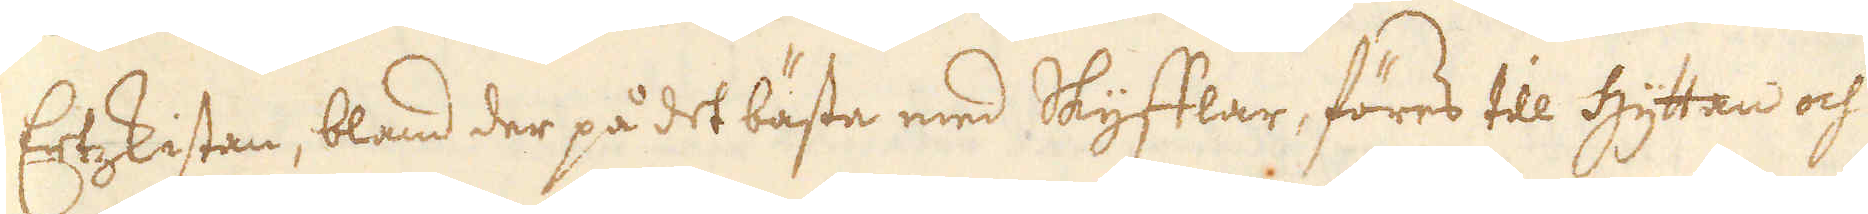Ertzskistan, bland der på det bästa med Skyfflar, föres till Hyttan och
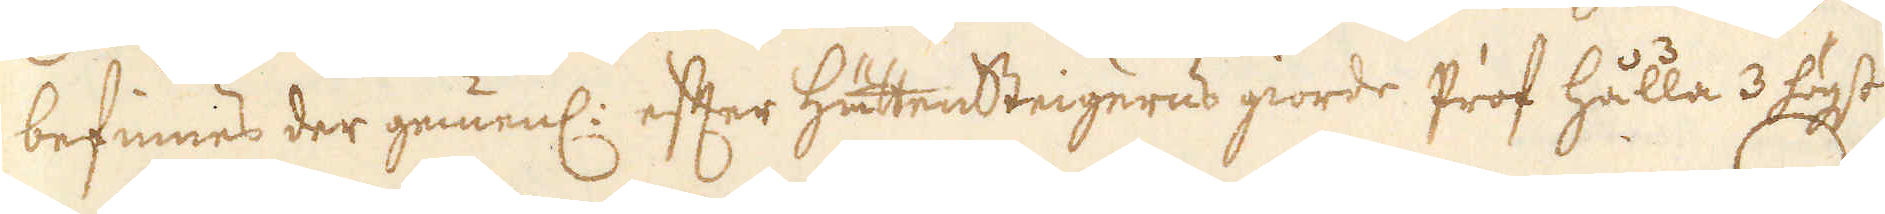befinnes der gemenl: efter Hüttensteigerns giorde Prof hålla 3 högst
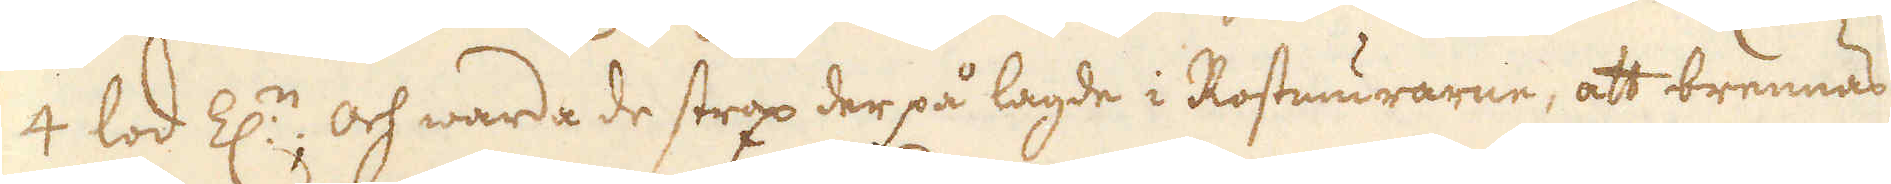4 lod Z:n, och warda de strax der på lagde i Rostmurarne, att brennas
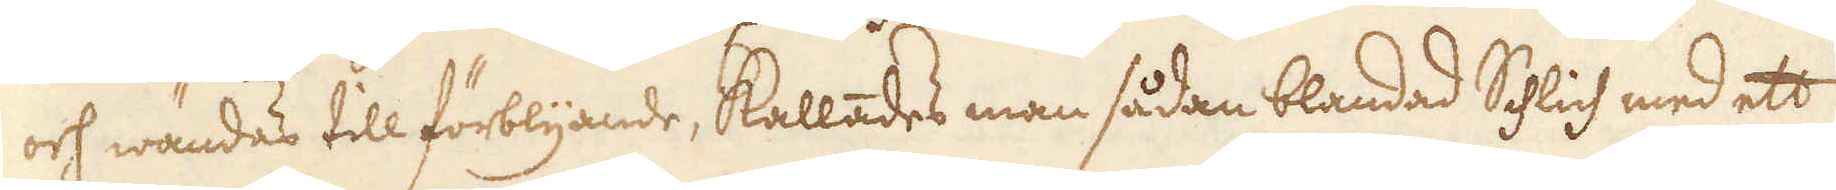och wändas till förblyande, kallades man sådan blandad Schlich med ett
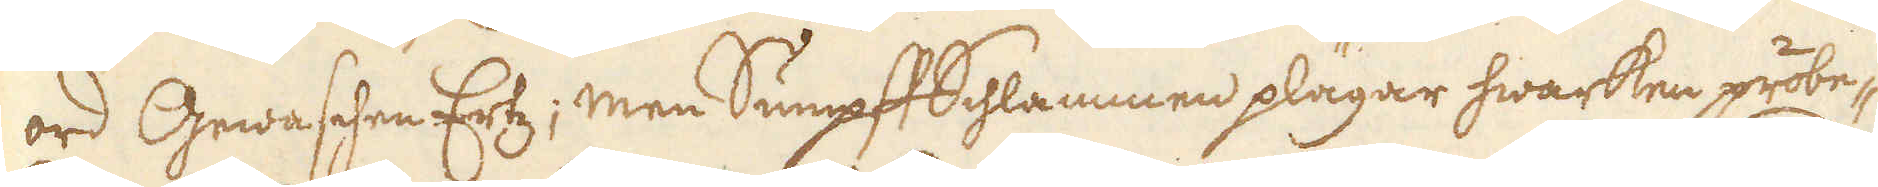ord Gewaschen Ertz; men SumpffSchlammen plägar hwarken probe-
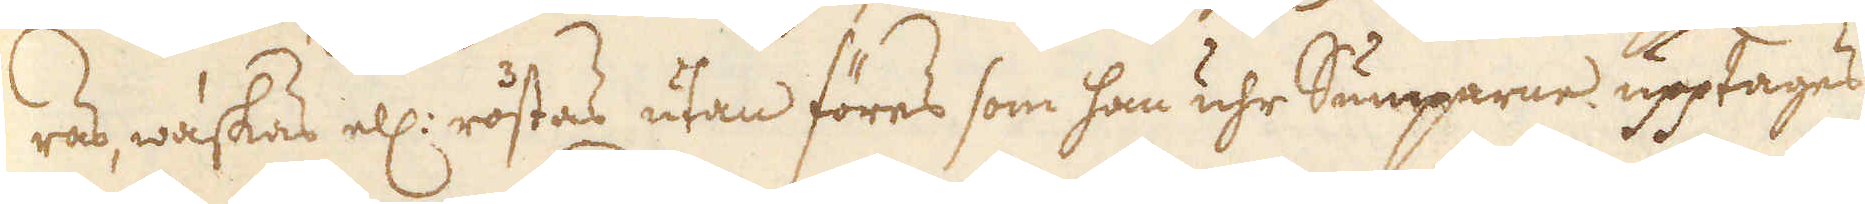ras, waskas ell: rostas utan föres som han uhr Sumparne upptages
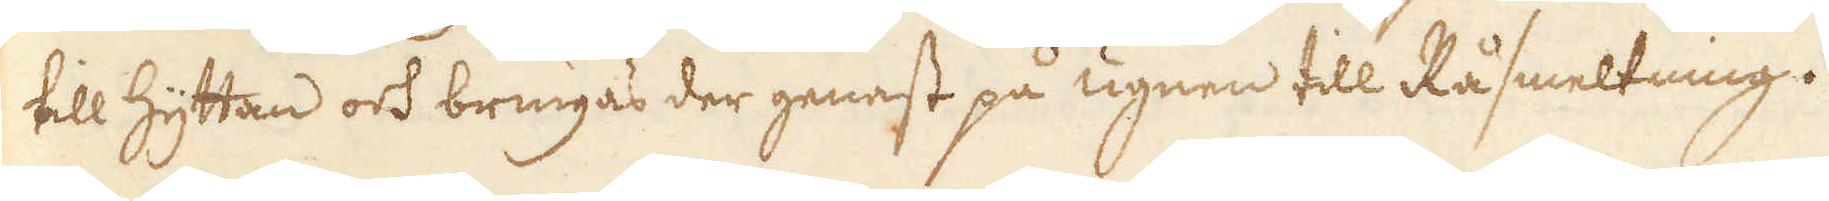till hyttan och bringas der genast på ugnen till Råsmeltning.
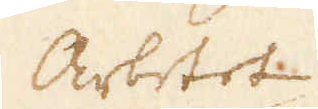Arbetet
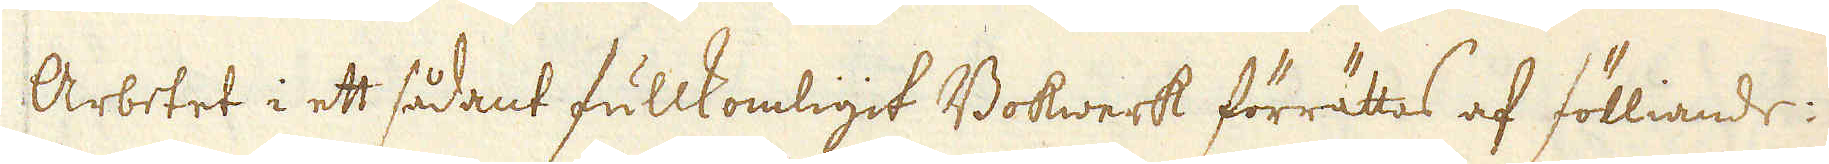Arbetet i ett sådant fullkomligit Bokwerk förrättas af fölliande:
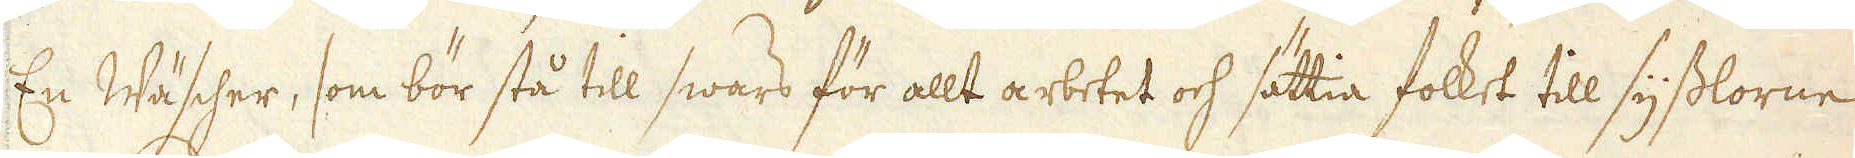En Wäscher, som bör stå till swars för allt arbetet och sättia folket till sysslorne
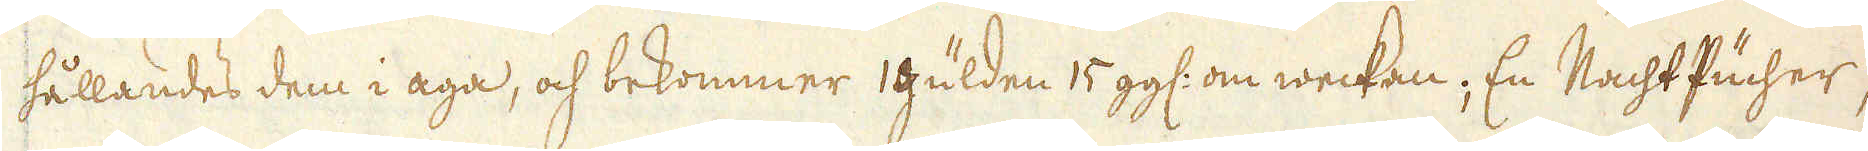hållandes dem i aga, och bekommer 1 gülden 15 gg: om weckan; En Nacht Pucher,
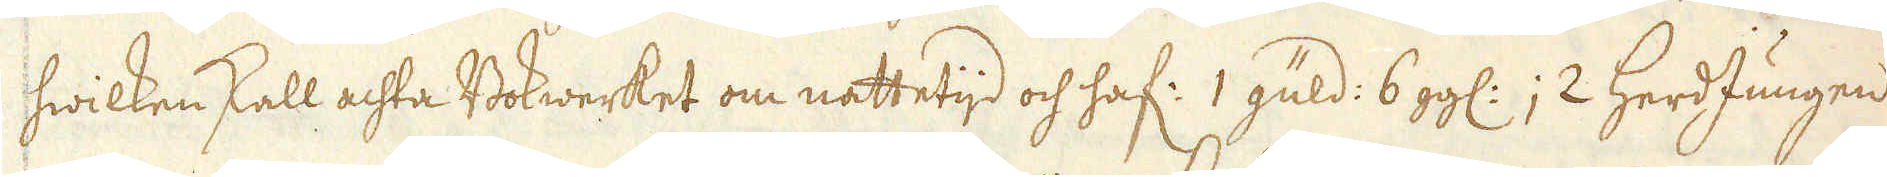hwilken skall achta Bokwerket om nattetijd och haf: 1 güld: 6 gg:; 2 HerdJungen
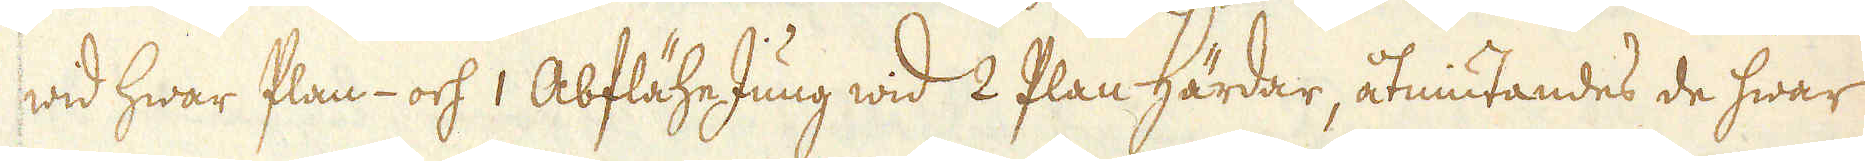wid hwar Plan- och 1 AbfläheJung wid 2 Plan Härdar, åtniutandes de hwar
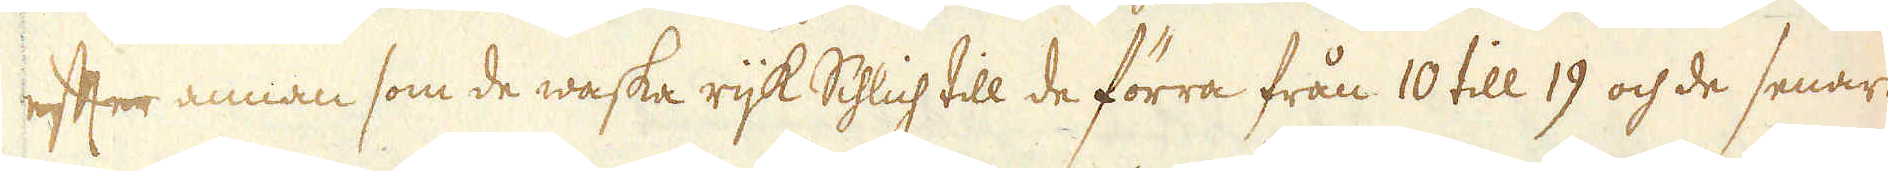efter annan som de waska rijk Schlich till de förra från 10 till 19 och de senare
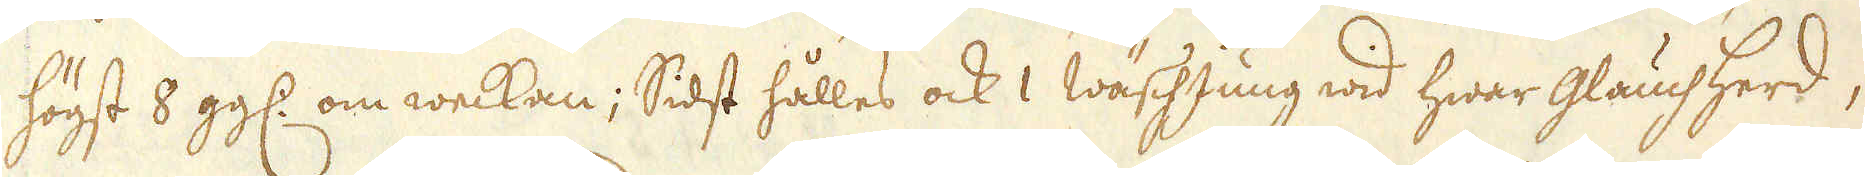högst 8 gg: om weckan; Sidst hålles ock 1 WäschJung wid hwar glauchherd,
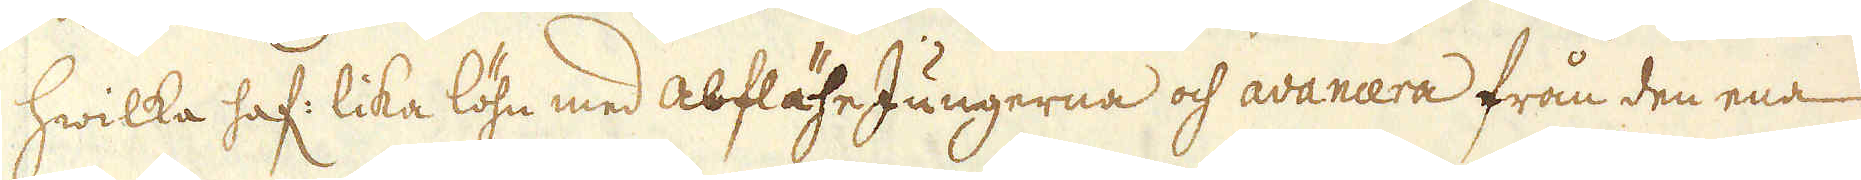hwilka haf: lika löhn med abfläheJungerna och avancera från den ena
